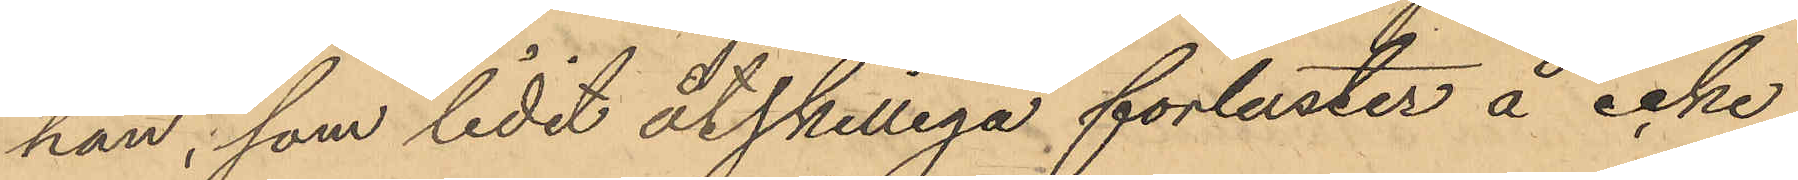han, som lidit åtskilliga förluster å icke
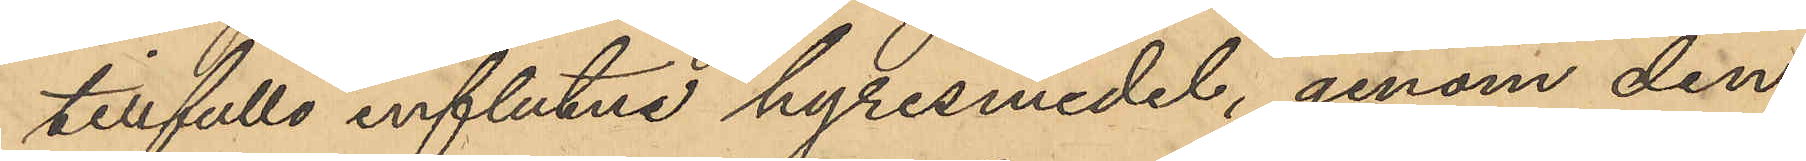tillfulle influtna hyresmedel, genom den
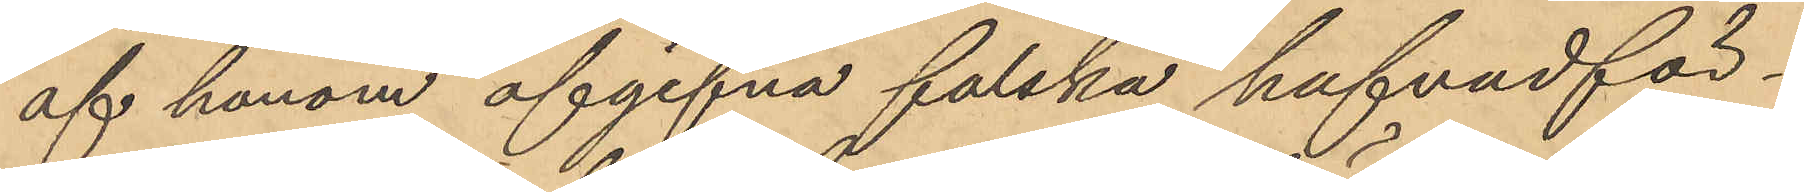af honom afgifna falska hufvudför¬
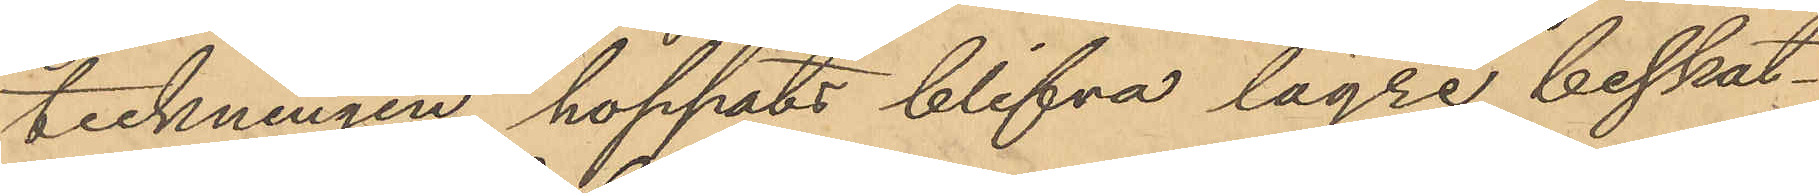teckningen hoppats blifva lägre beskat¬
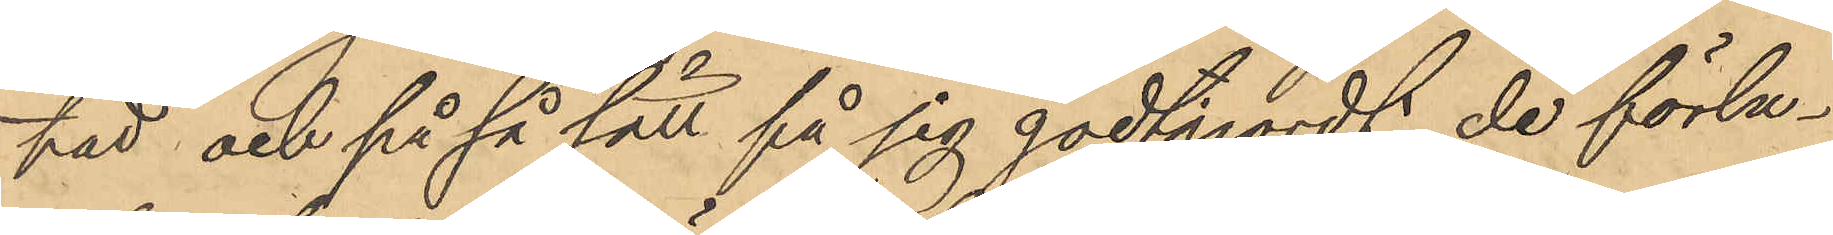tat och på så sätt på sig godtgjordt de förlu¬
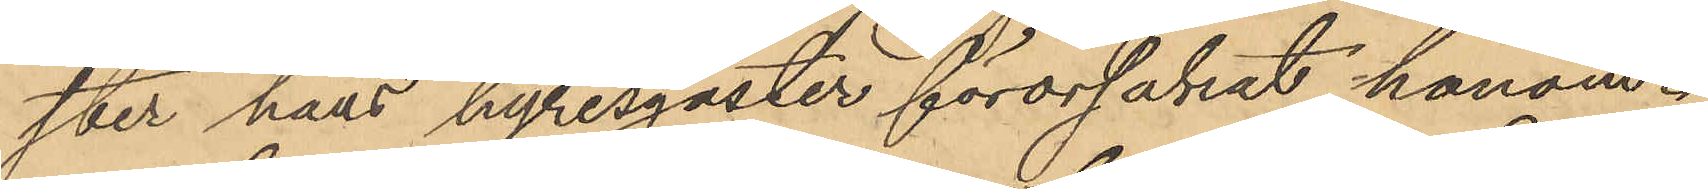ster hans hyresgäster förorsakat honom.
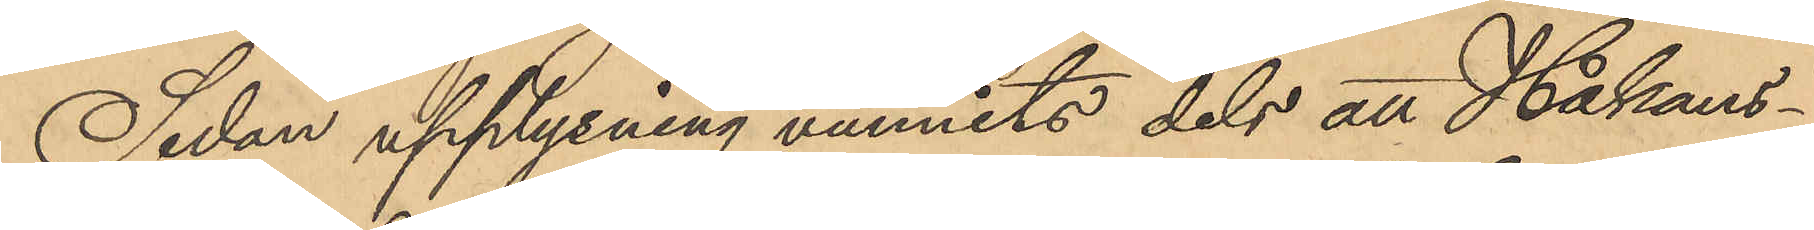Sedan upplysning vunnits dels att Håkans¬
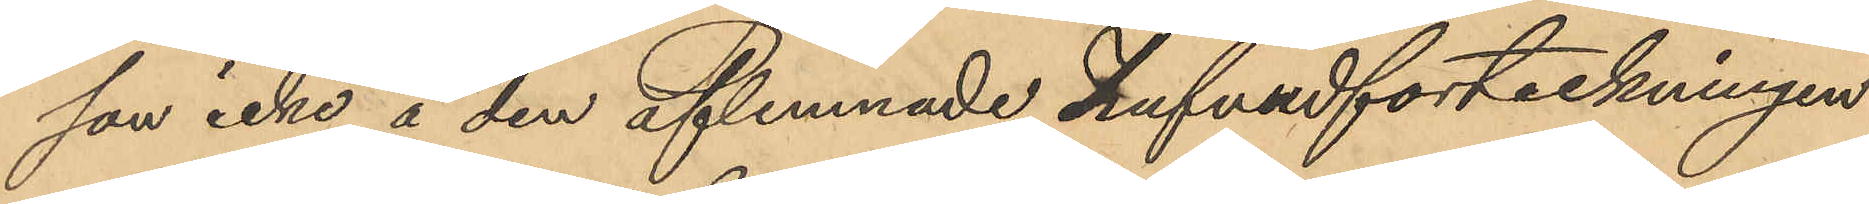son icke å den aflemnade hufvudförteckningen
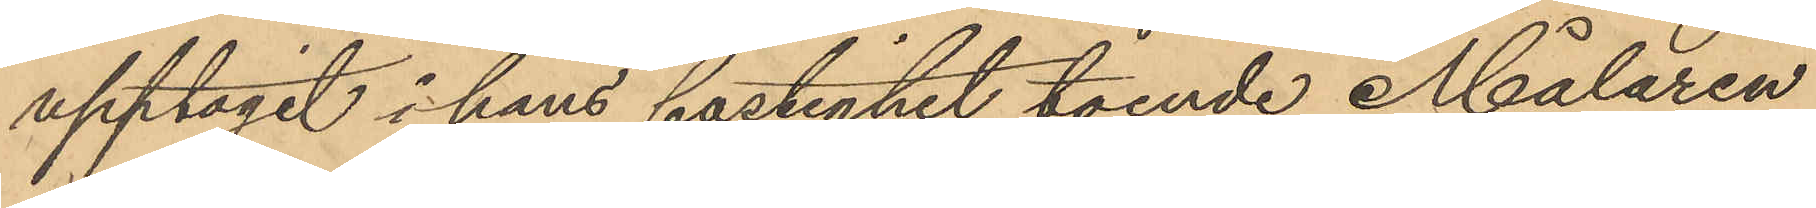upptagit i hans fastighet boende Målaren
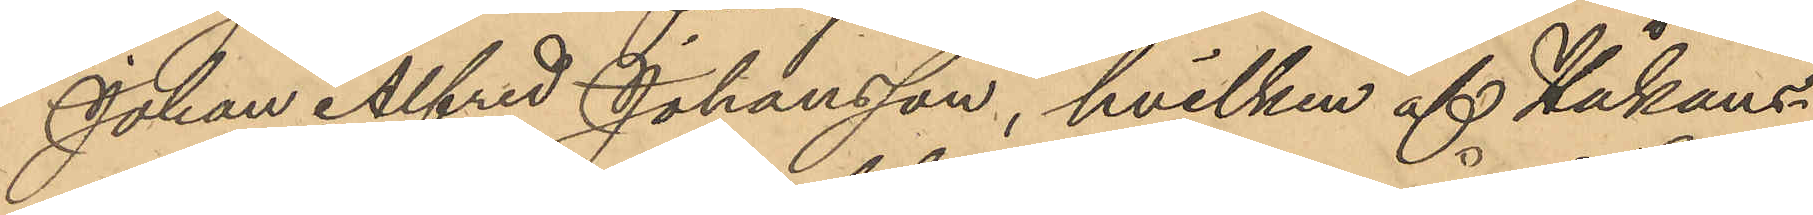Johan Alfred Johansson, hvilken af Håkans¬
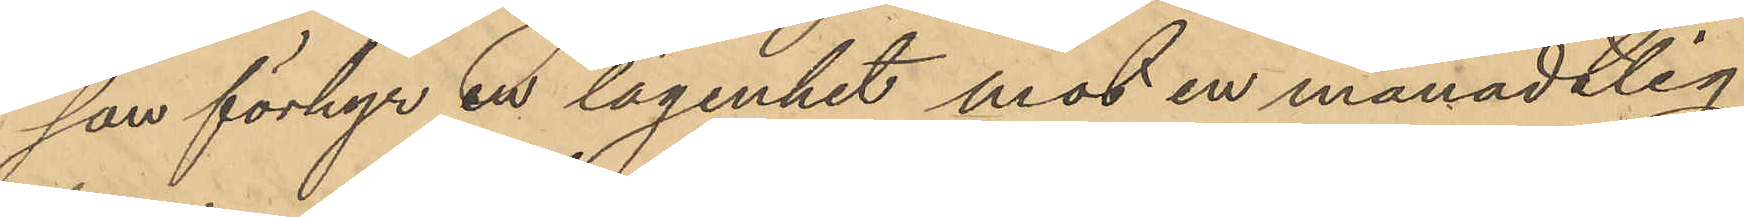son förhyr en lägenhet mot en månadtlig
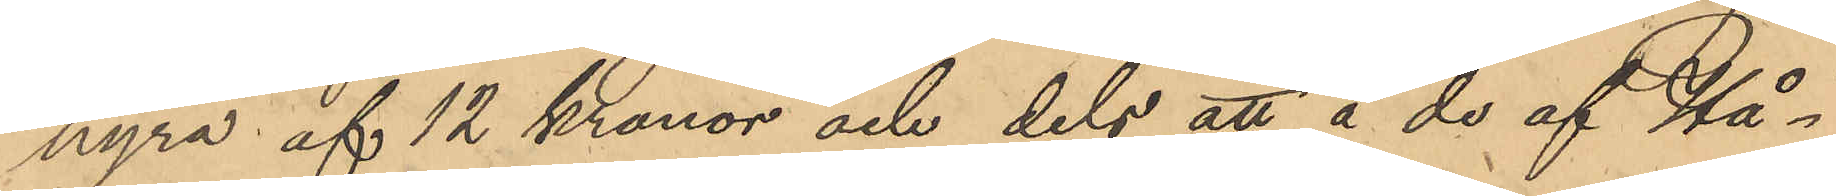hyra af 12 Kronor och dels att å de af Hå¬
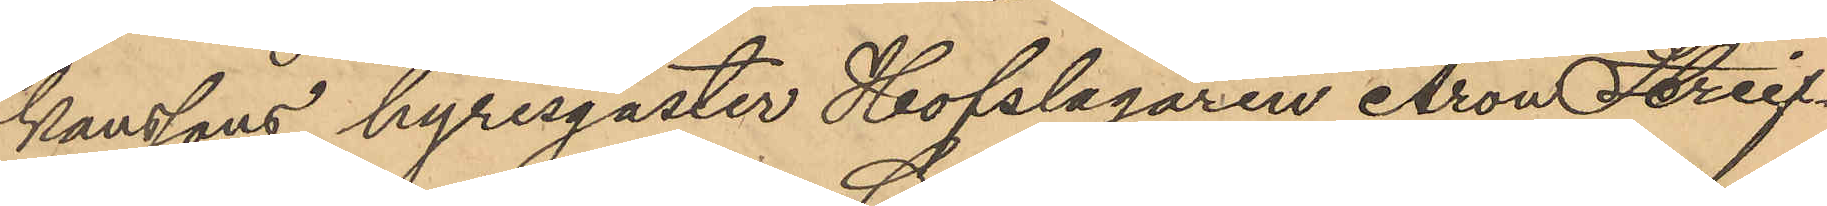kanssons hyresgäster Hofslagaren Aron Streif¬
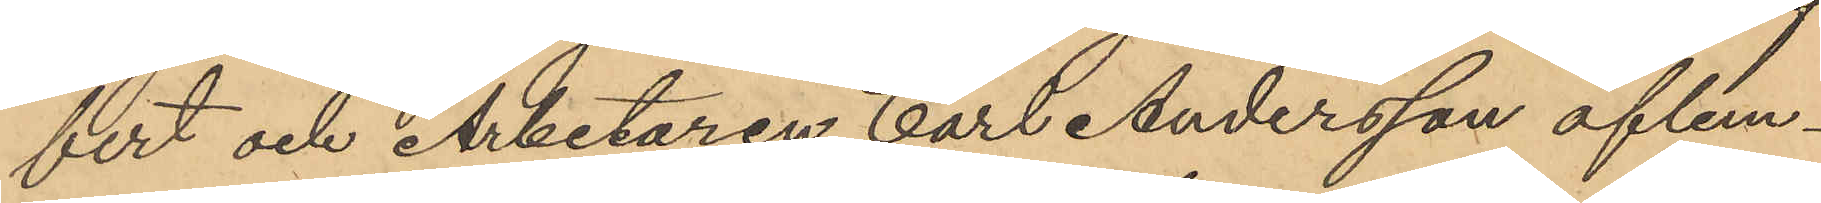fert och Arbetaren Carl Andersson aflem¬
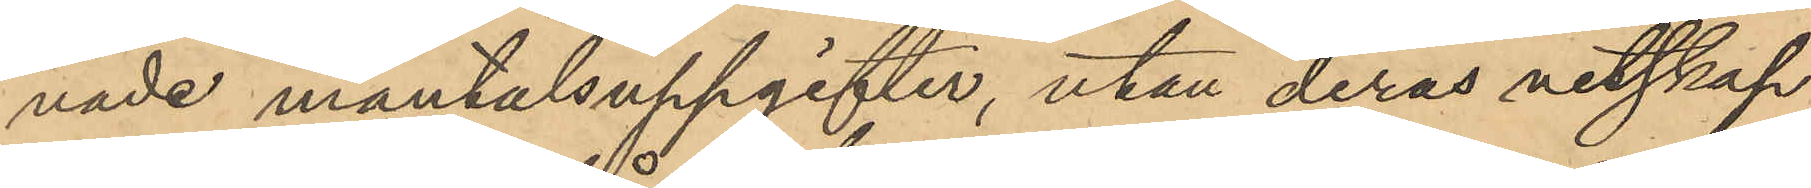nade mantalsuppgifter, utan deras vetskap
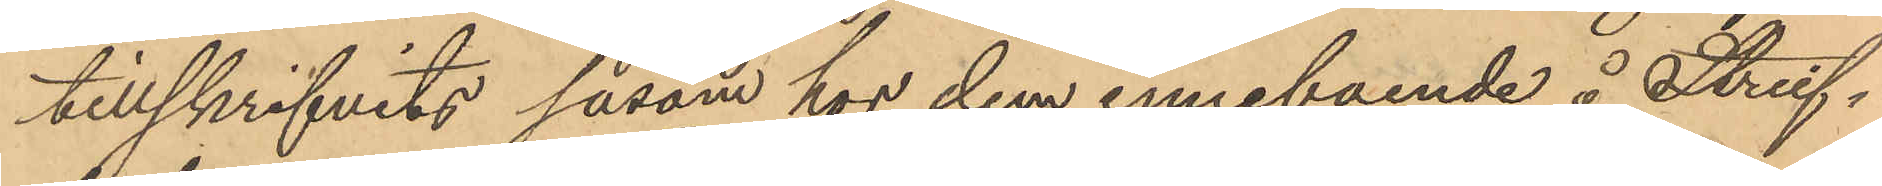tillskrifvits såsom hos dem inneboende å Streif¬
